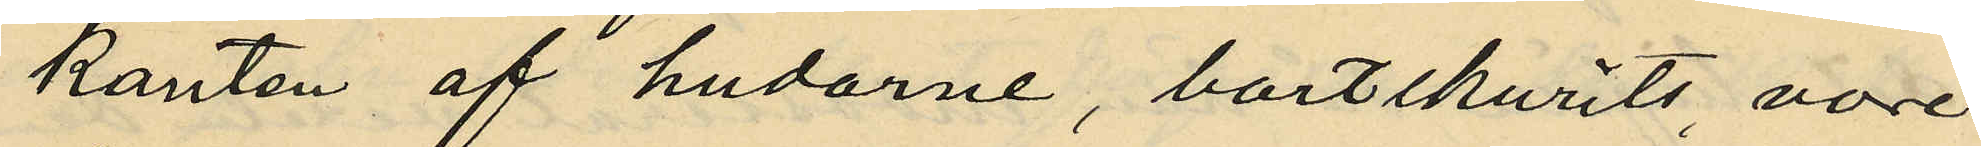kanten af hudarne, bortskurits, vore
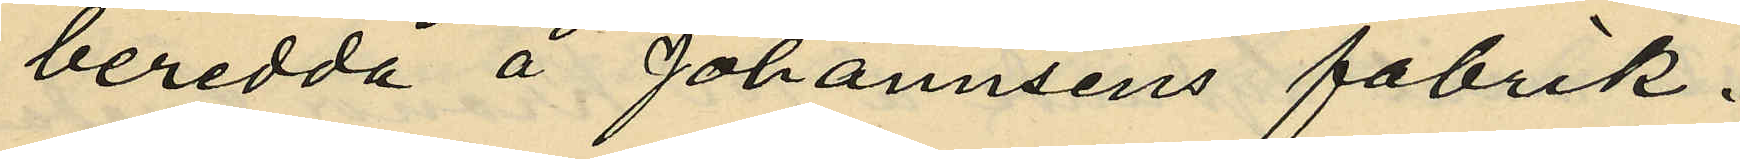beredda å Johannsens fabrik.
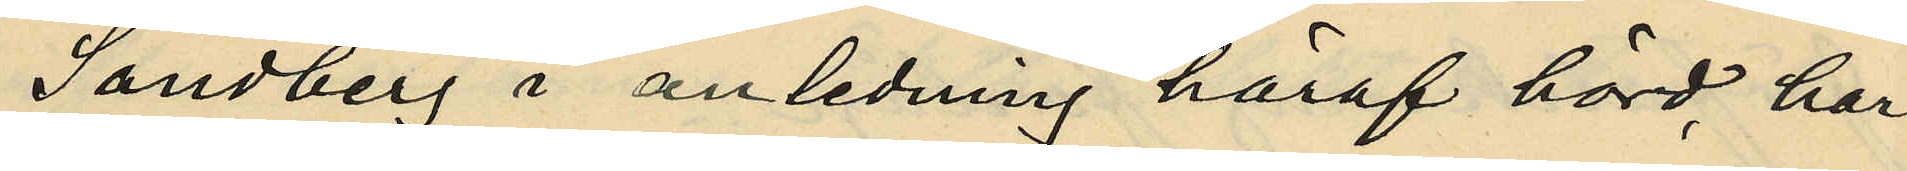Sandberg i anledning häraf hörd, har
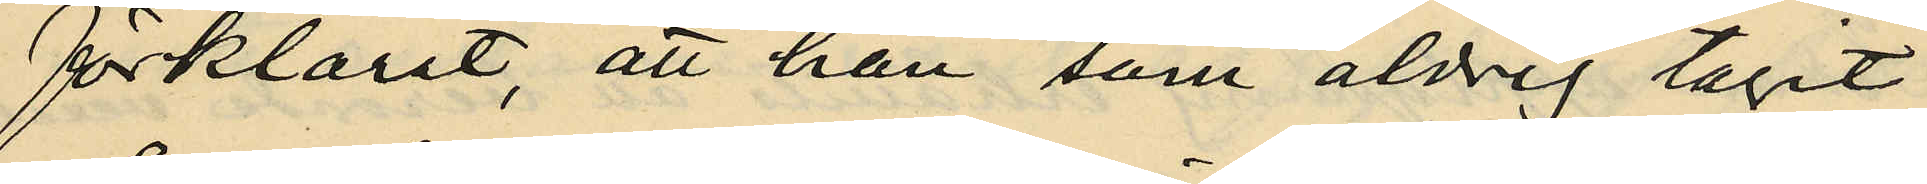förklarat, att han som aldrig tagit
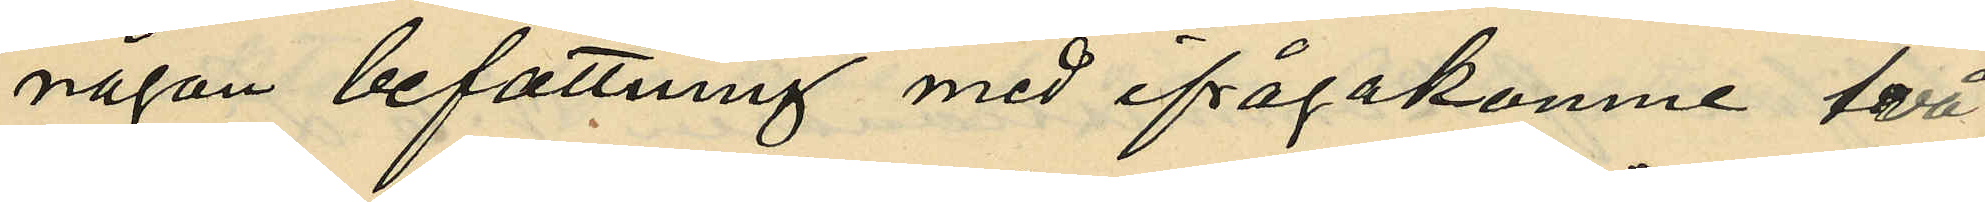någon befattning med ifrågakomne två
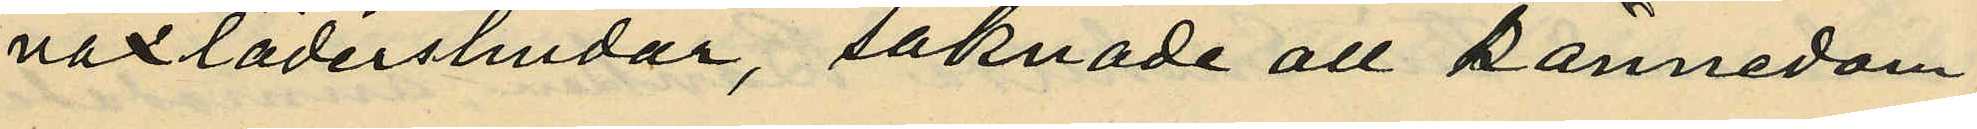vaxlädershudar, saknade all kännedom
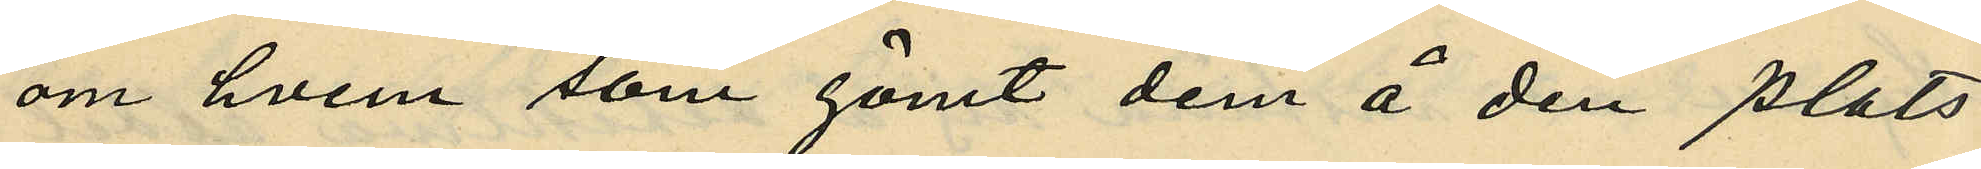om hvem som gömt dem å den plats
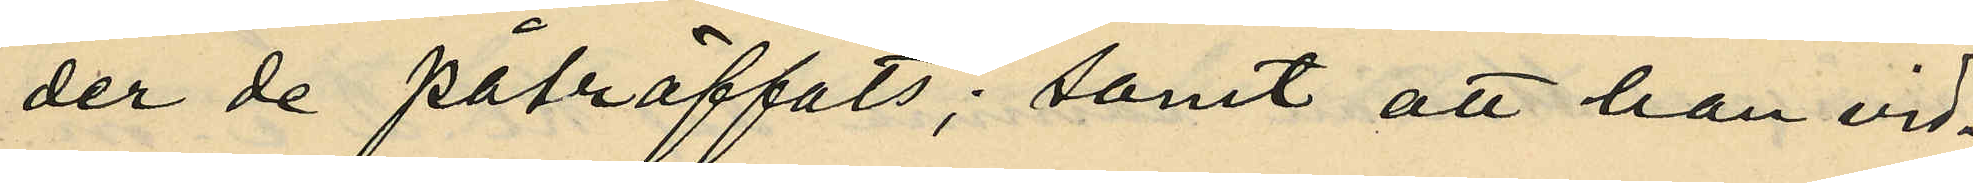der de påträffats; samt att han vid¬
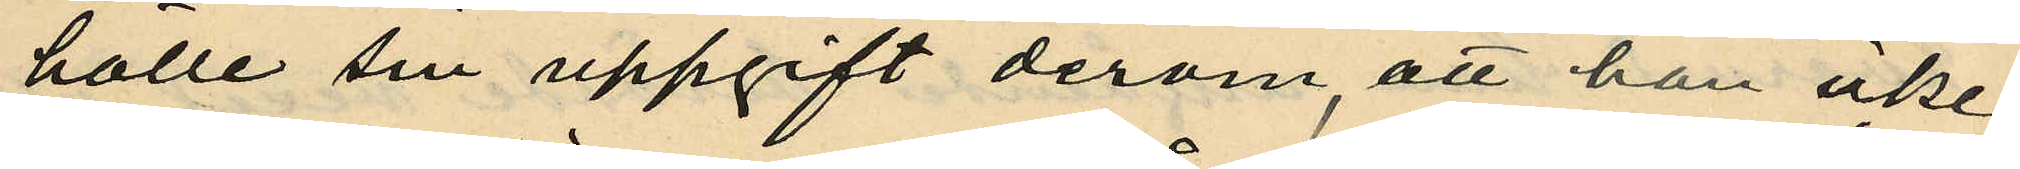hölle sin uppgift derom, att han icke
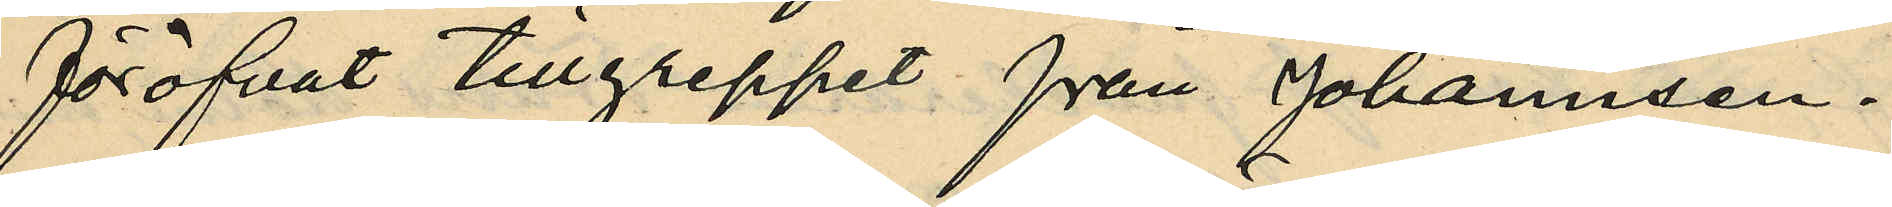föröfvat tillgreppet från Johannsen.
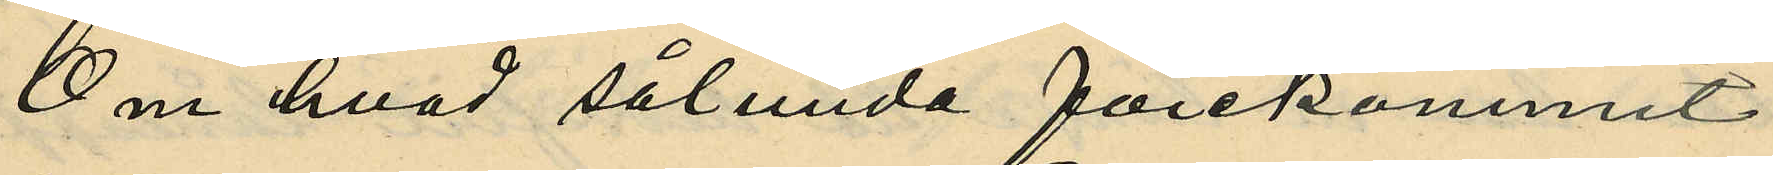Om hvad sålunda förekommit
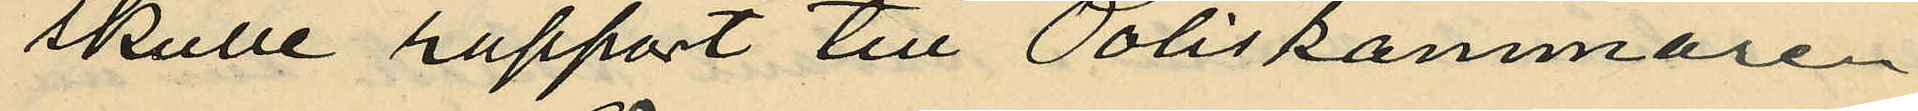skulle rapport till Poliskammaren
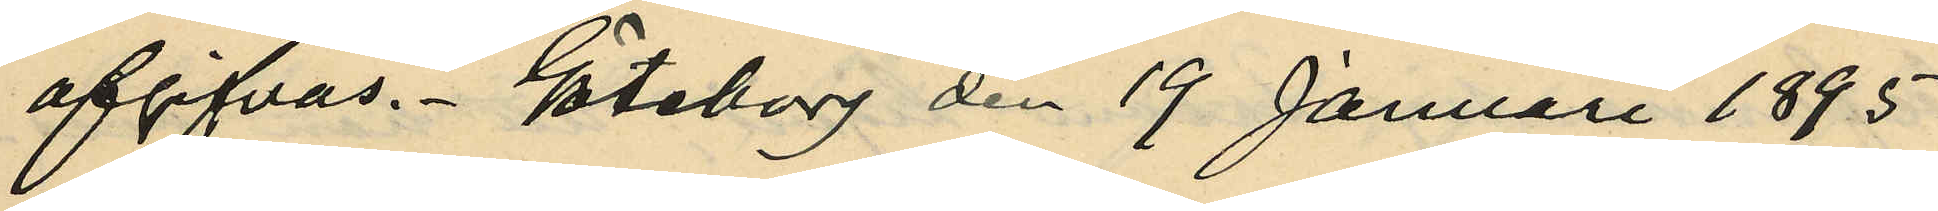afgifvas. Göteborg den 19 Januari 1895
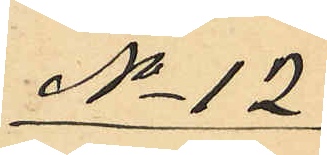No 12
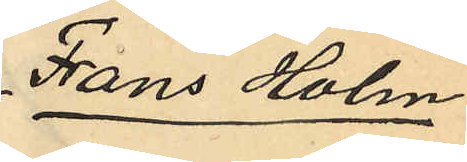Frans Holm
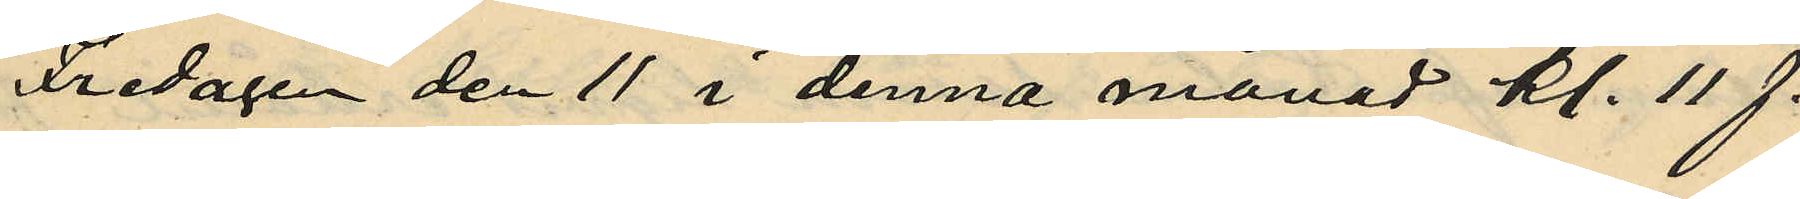Fredagen den 11 i denna månad kl. 11 f.
